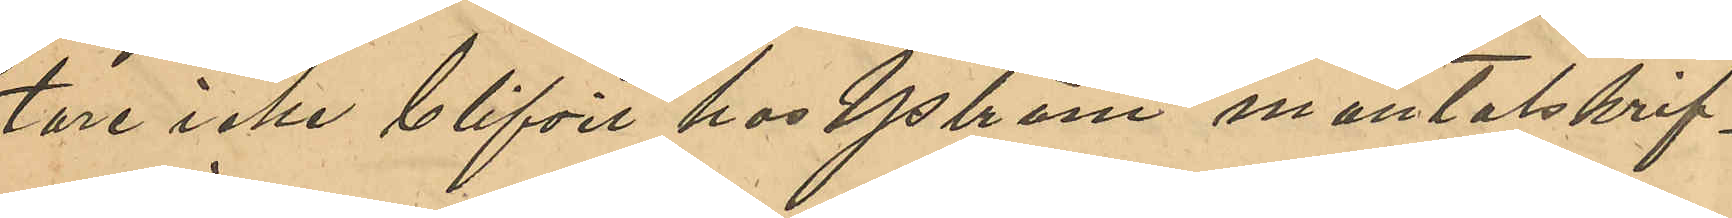tare icke blifvit hos Yström mantalsskrif¬
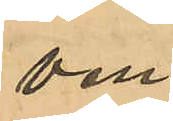ven.
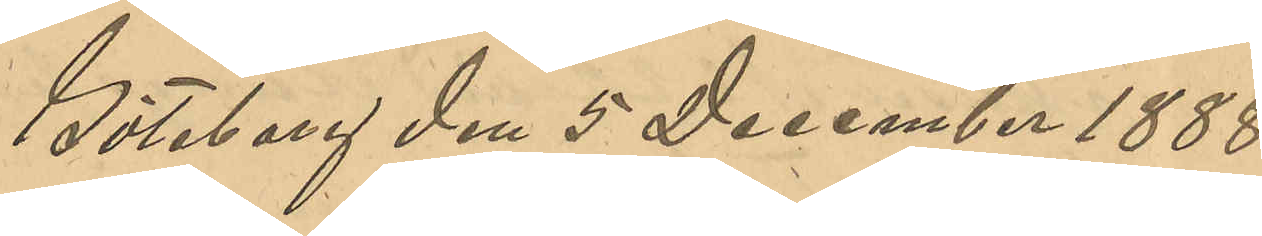Göteborg den 5 December 1888
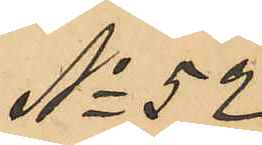No 52
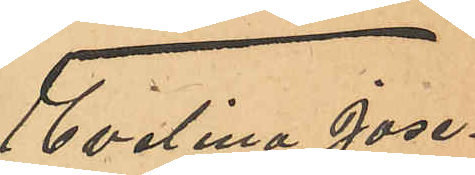Evelina Jose¬
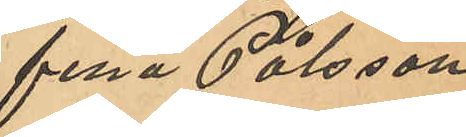fina Pålsson
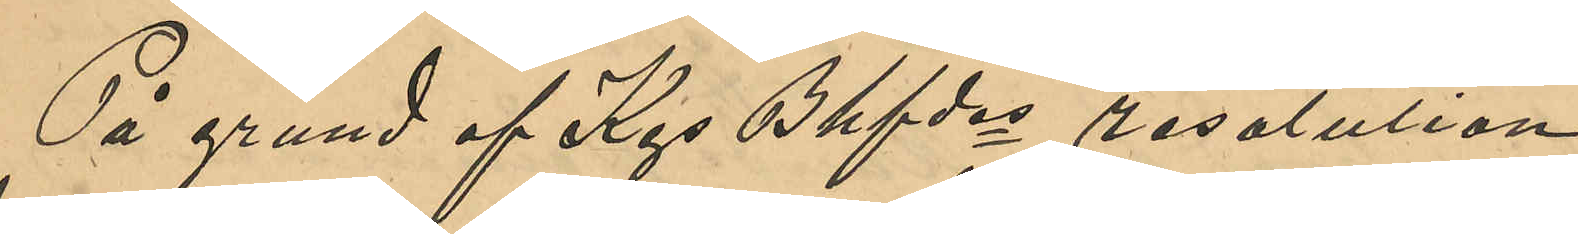På grund af Kgs Bhfdes resolution
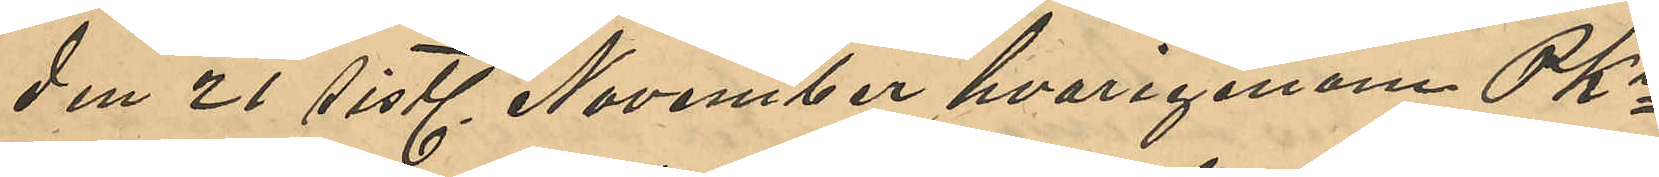den 21 sistl November hvarigenom PKn
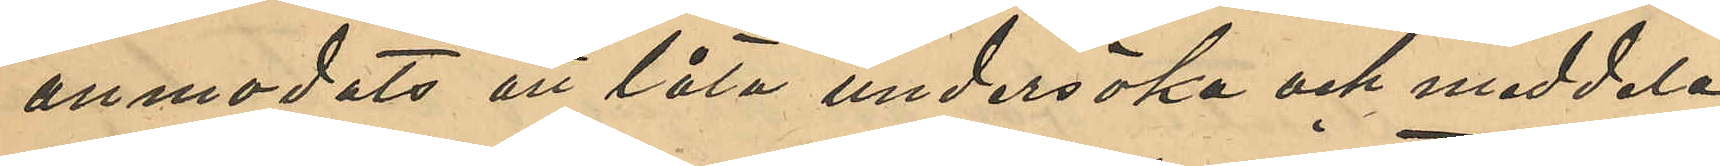anmodats att låta undersöka och meddela
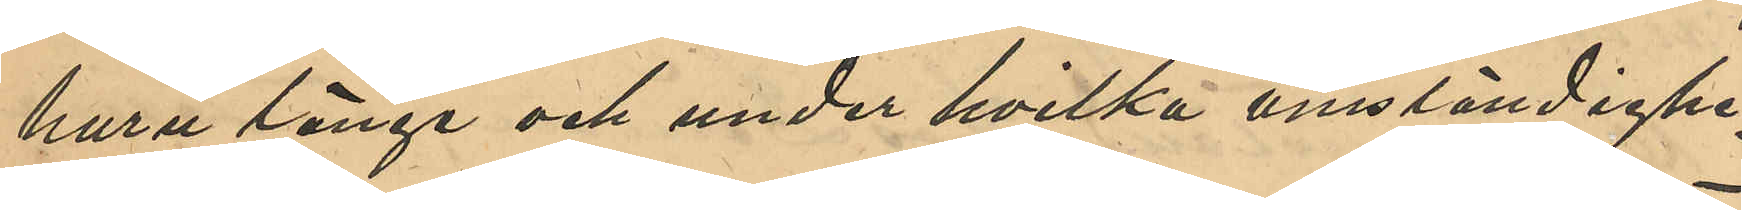huru länge och under hvilka omständighe¬
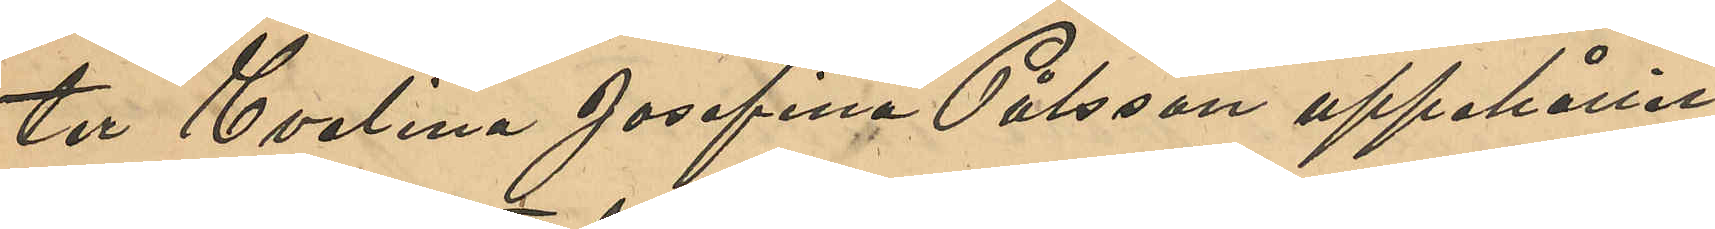ter Evelina Josefina Pålsson uppehållit
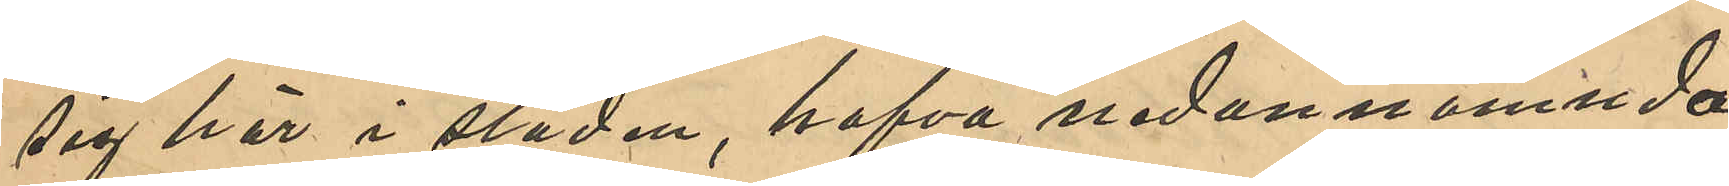sig här i staden, hafva nedan nämnda
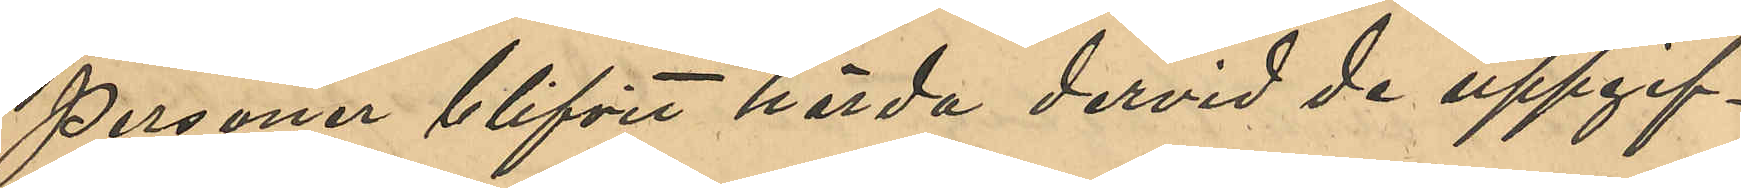personer blifvit hörda dervid de uppgif¬
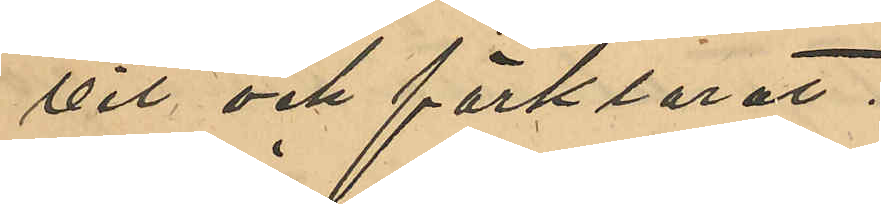vit och förklarat:
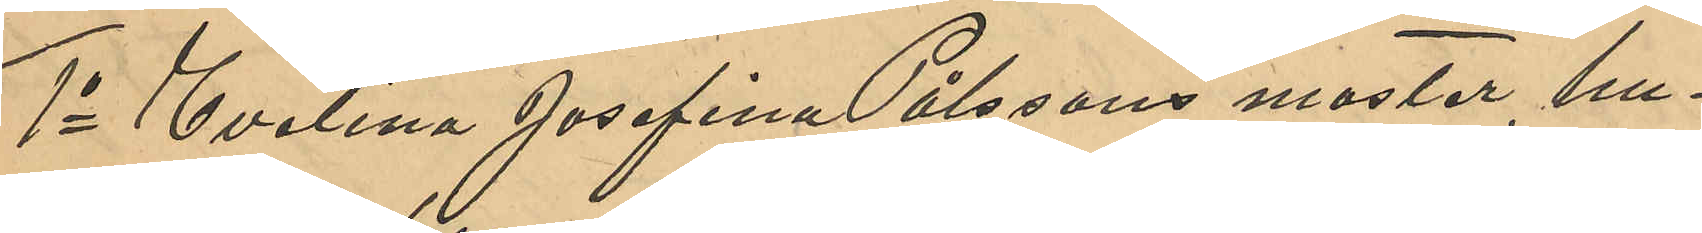1o Evelina Josefina Pålssons moster, hus¬
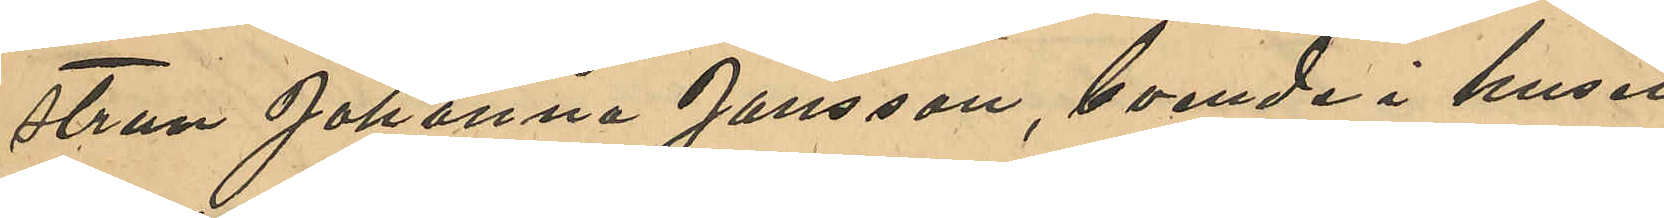strun Johanna Jansson, boende i huset
